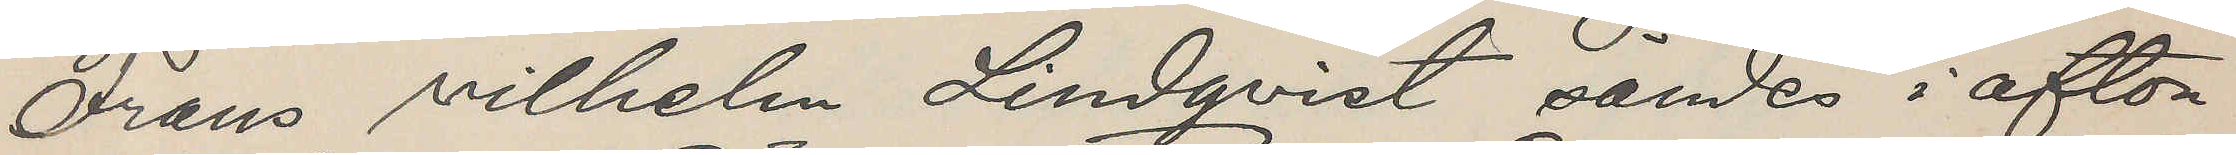Frans Vilhelm Lindqvist sändes i afton
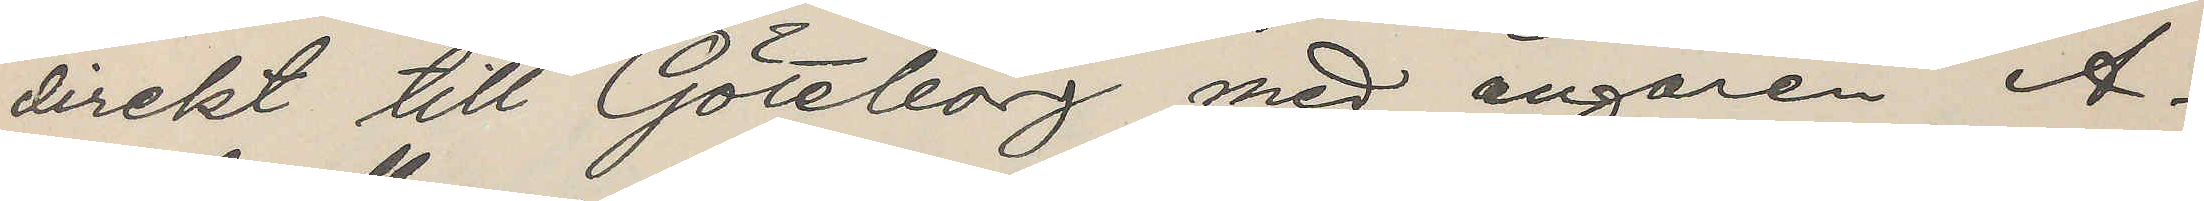direkt till Göteborg med ångaren A¬
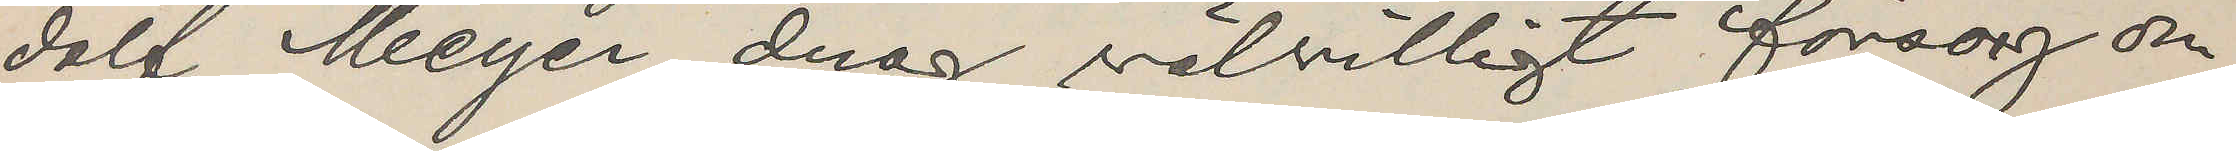dolf Meyer, drag välvilligt försorg om
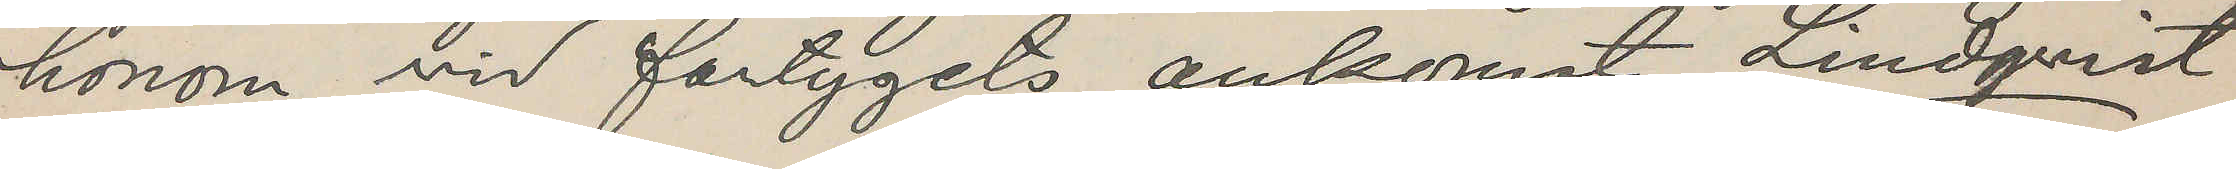honom vid fartygets ankomst. Lindqvist
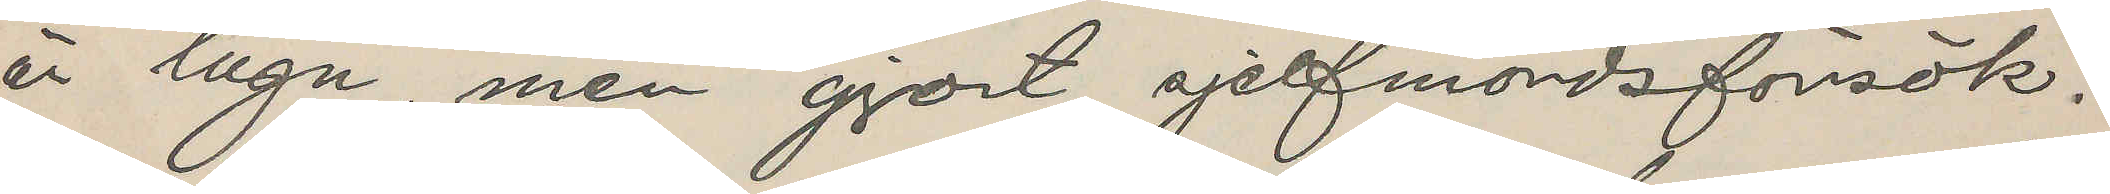är lugn, men gjort sjelfmordsförsök.
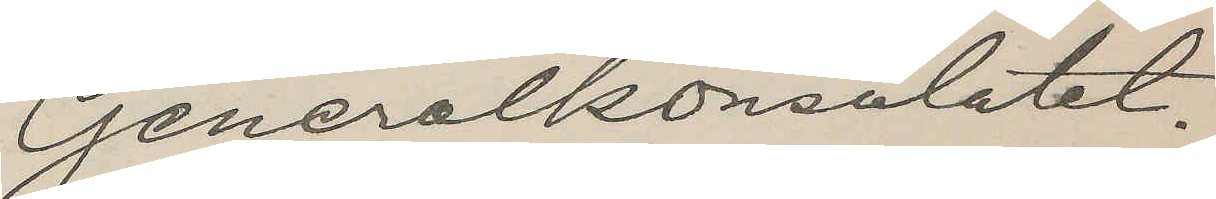Generalkonsulatet.
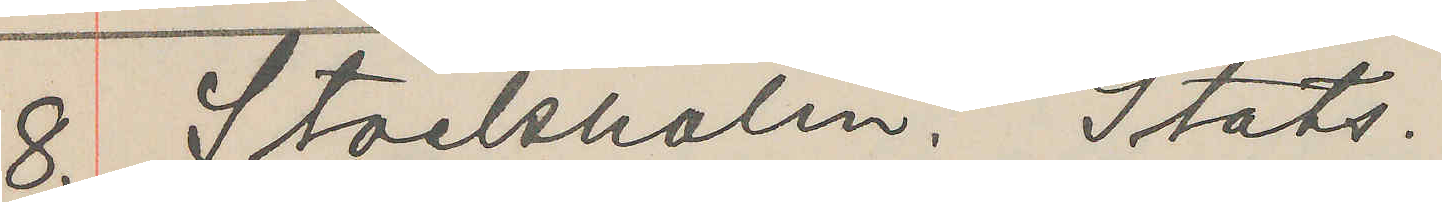8. Stockholm. Stats.
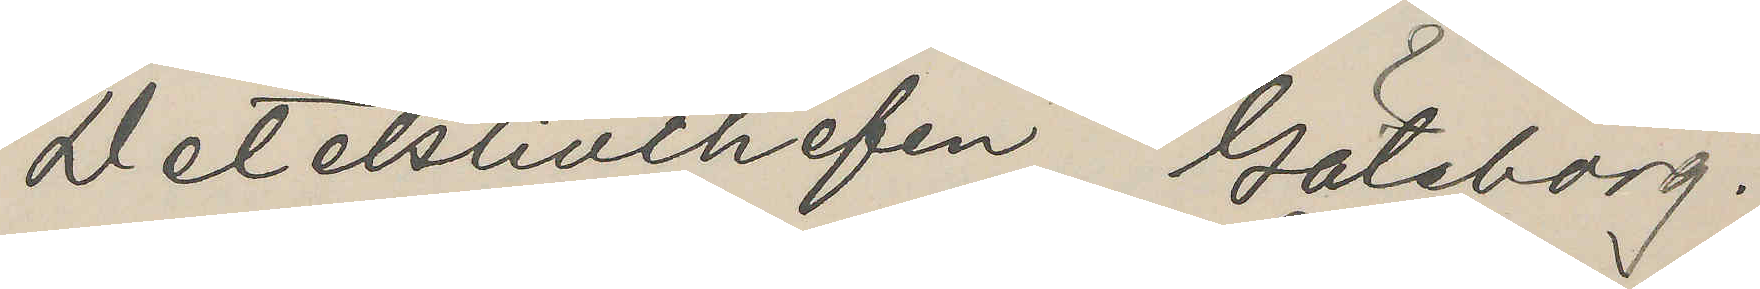Detektivchefen, Göteborg.
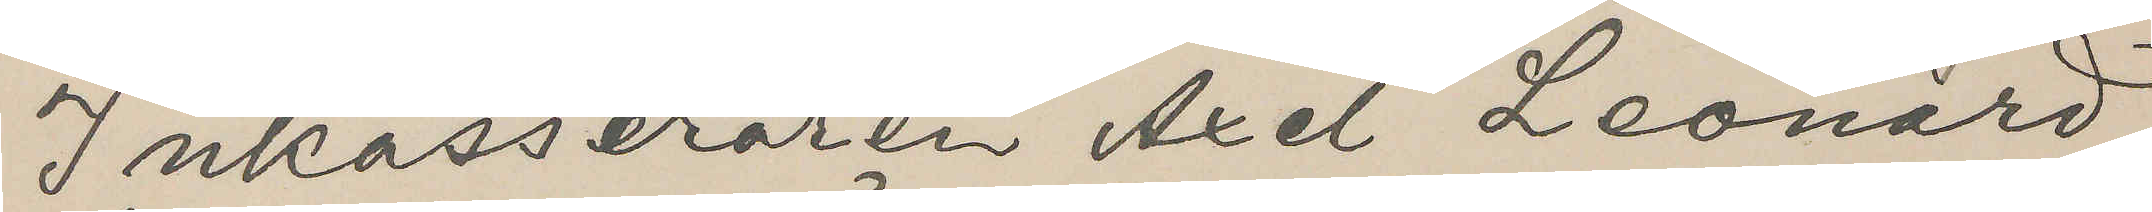Inkasseraren Axel Leonard
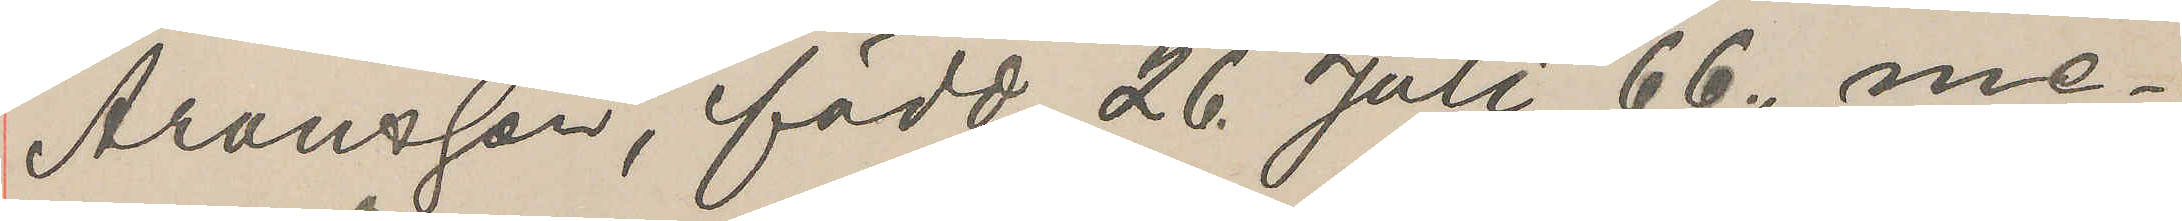Aronsson, född 26 Juli 66, me¬
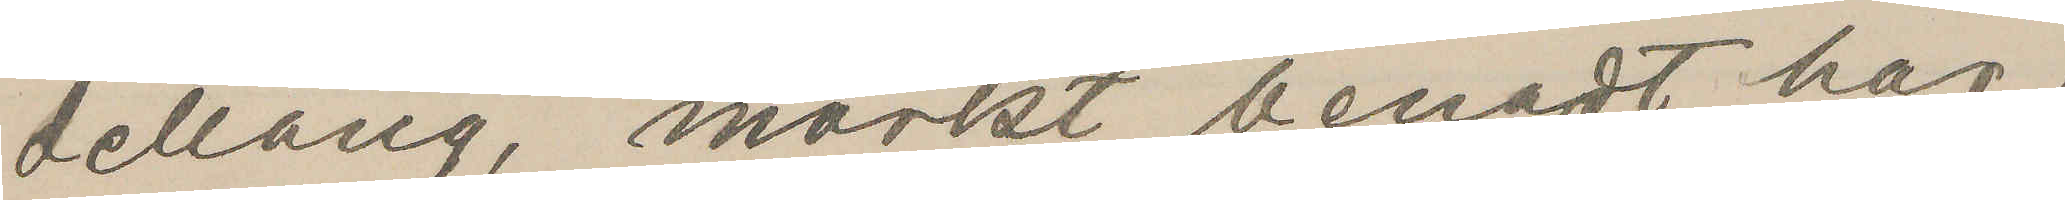dellång, mörkt benadt hår,
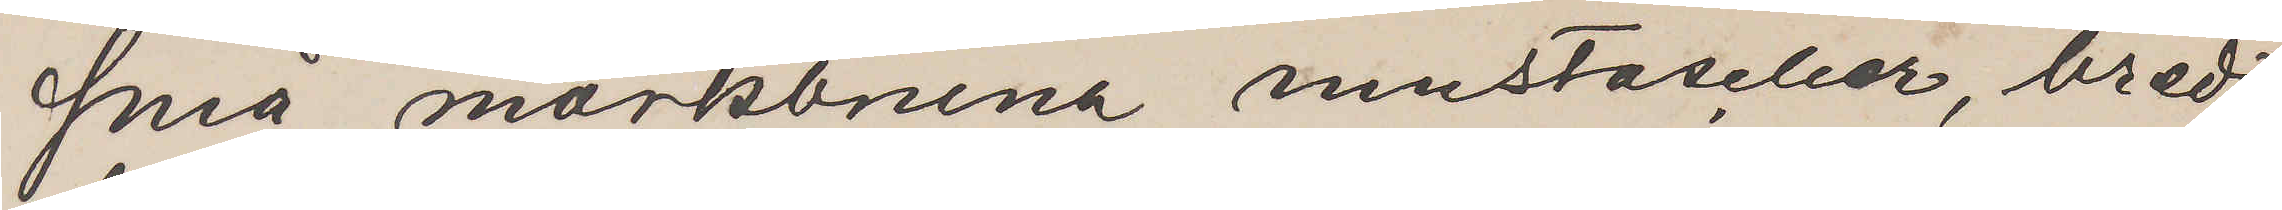små mörkbruna mustascher, bredt
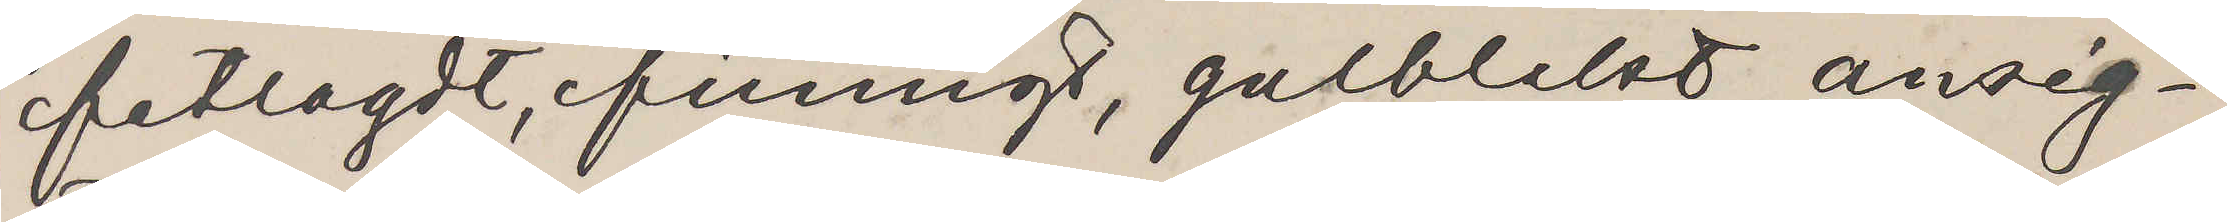fetlagdt, finnigt, gulblekt ansig¬
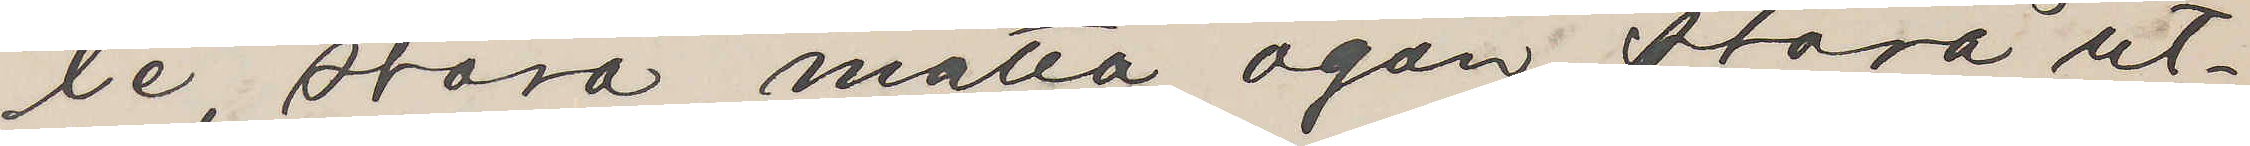te, stora matta ögon, stora ut¬
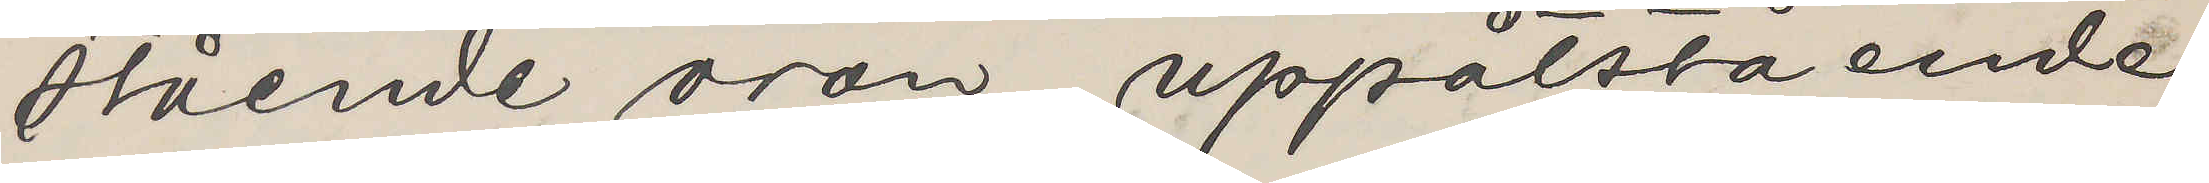stående öron, uppåtstående
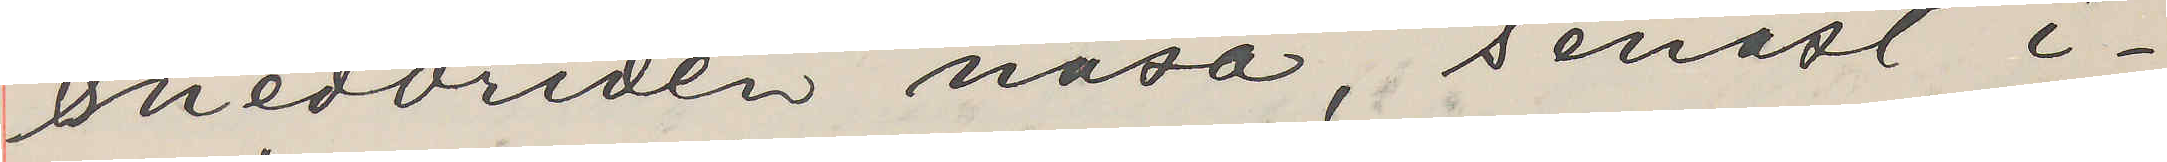snedvriden näsa, senast i¬
